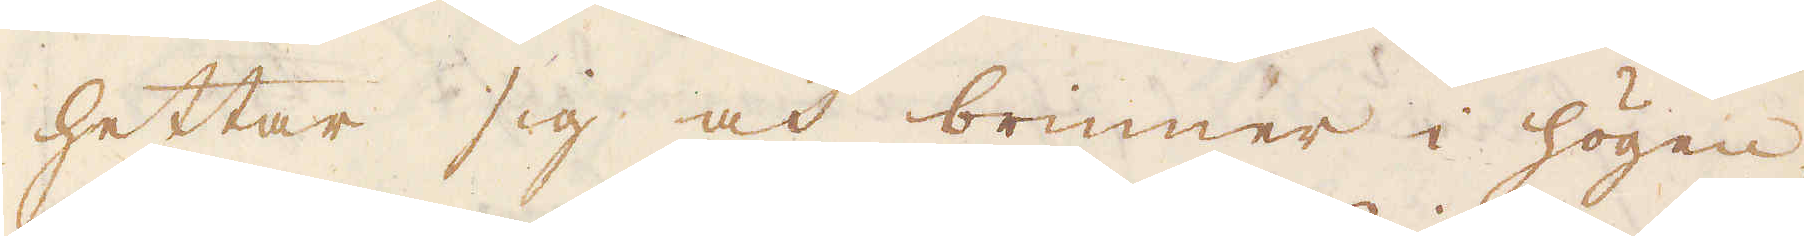hettar sig och brinner i högen,
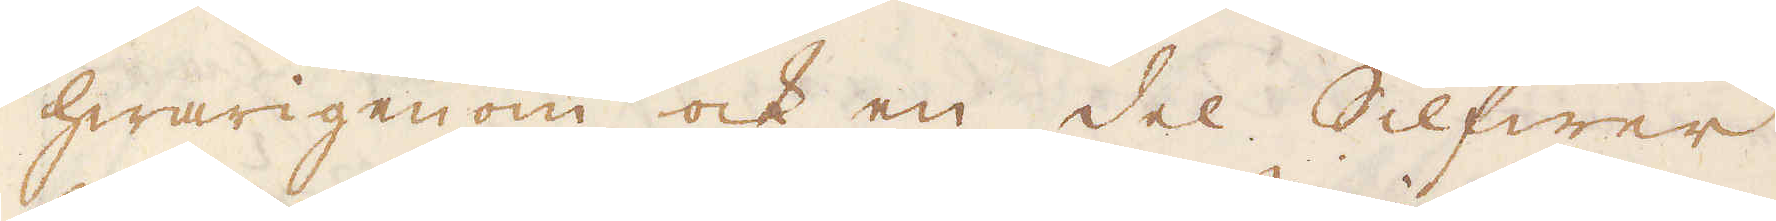hwarigenom ock en del Silfwer
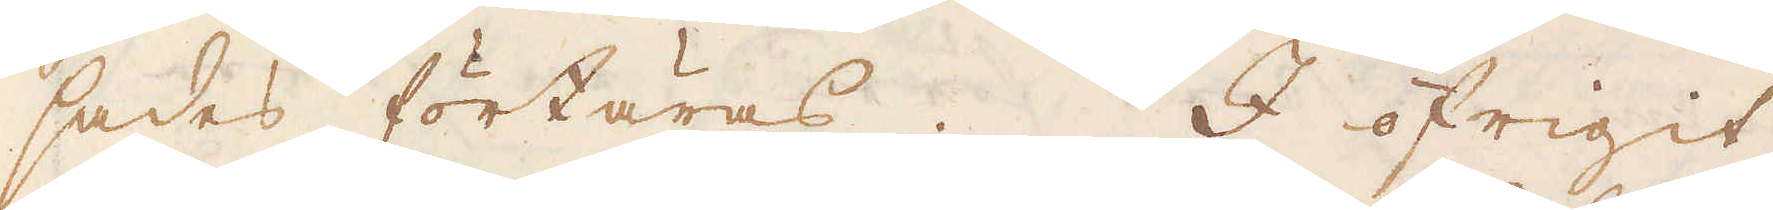sades förtäras. I öfrigit
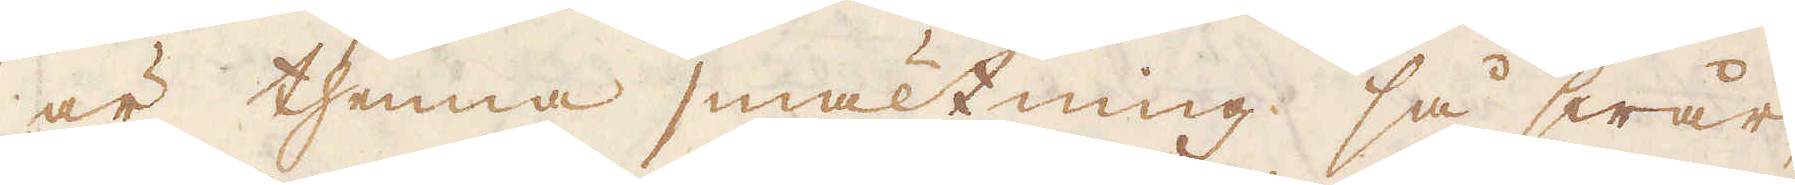är thenna smältning så swår,
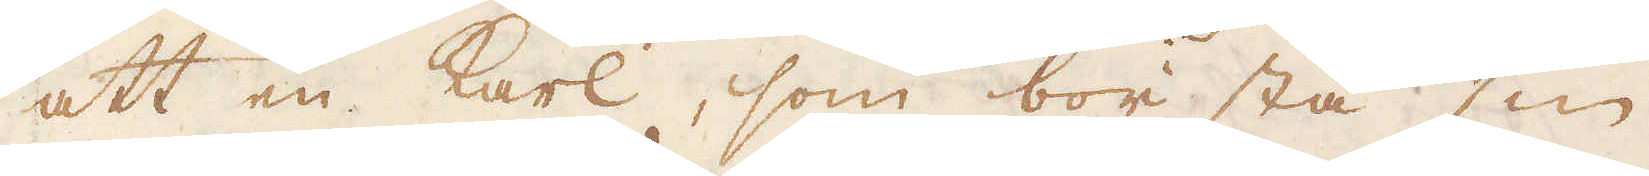att en karl, som bör stå sin
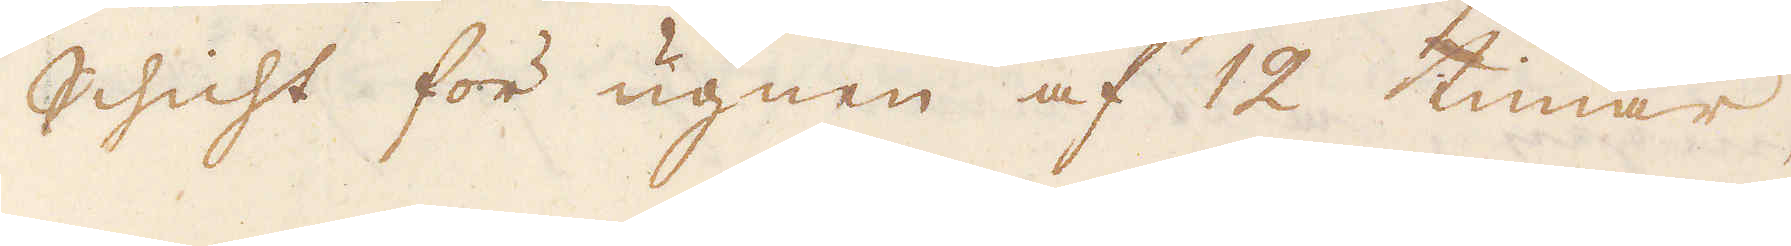Schicht för ugnen af 12 timar,
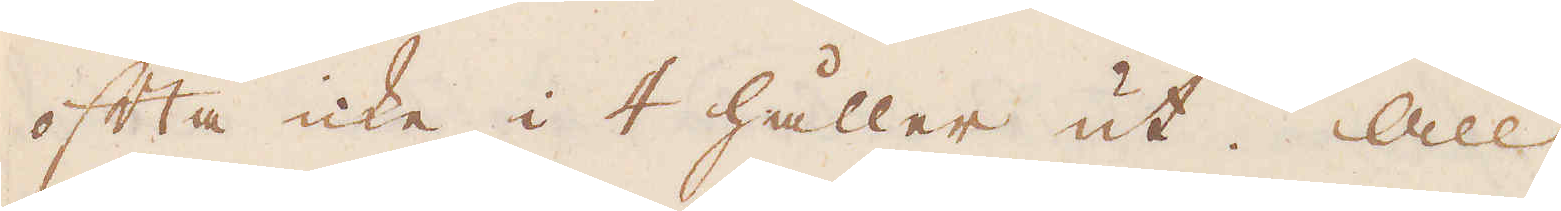ofta icke i 4 håller ut. All
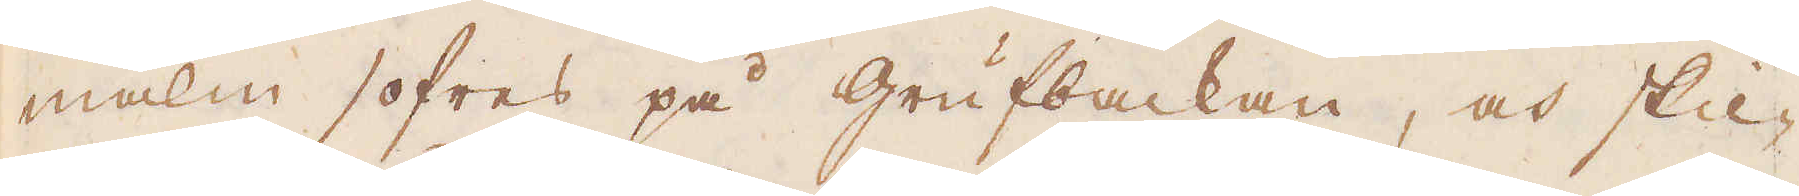malm sofres på Grufbackan, och skil-
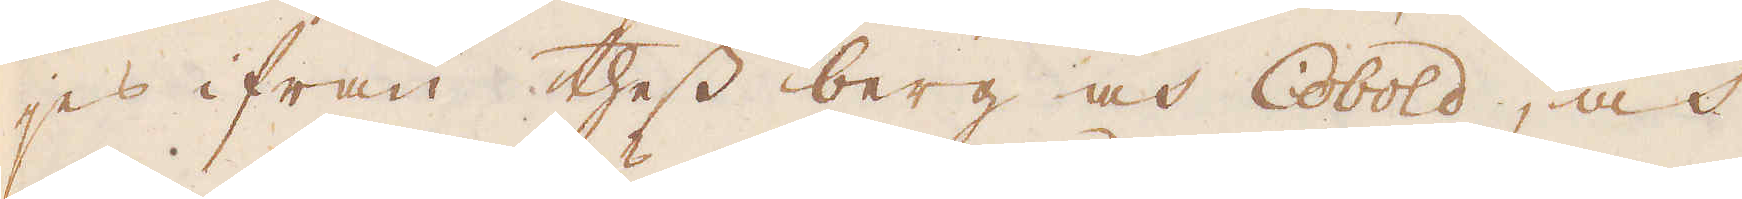jes ifrån thess berg och Cobold, och
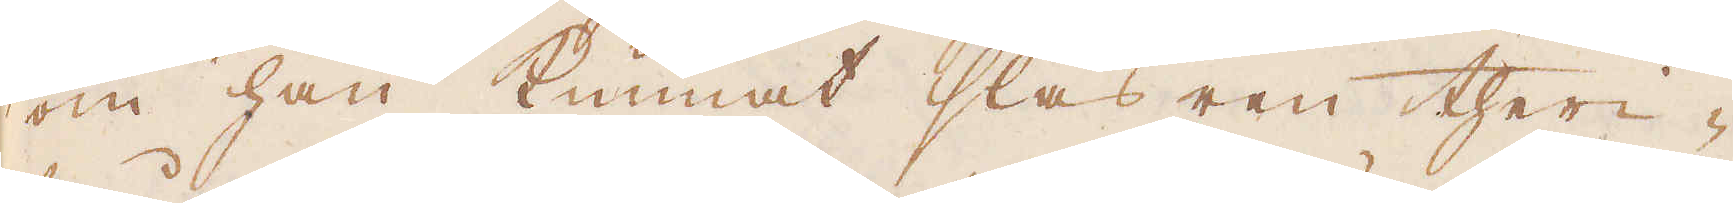om han kunnat slås ren theri-
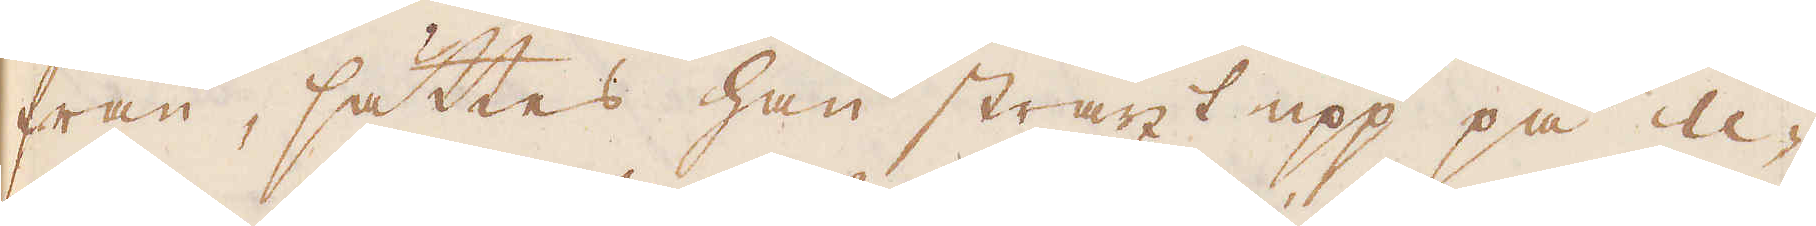från, sättes han straxt upp på U-
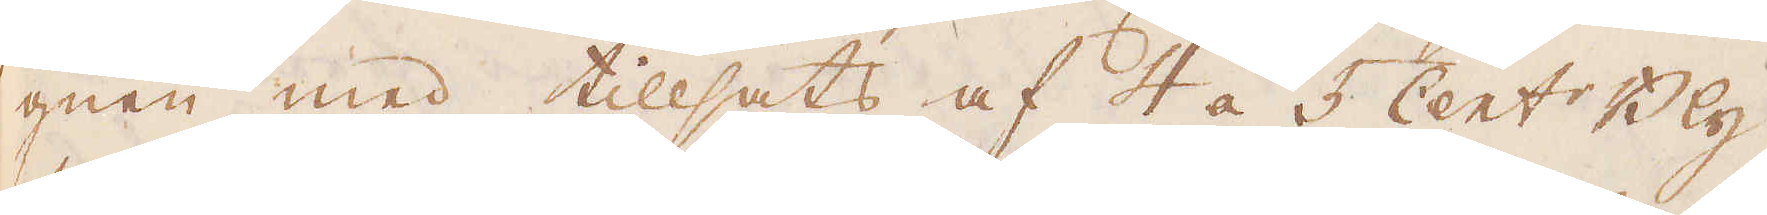gnen med tillsats af 4 á 5 Cent:r Bly
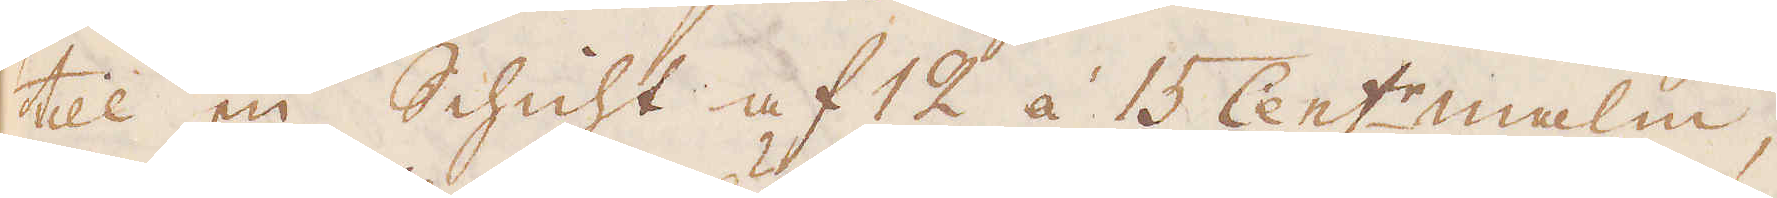till en Schicht af 12 á 15 Cent:r malm;
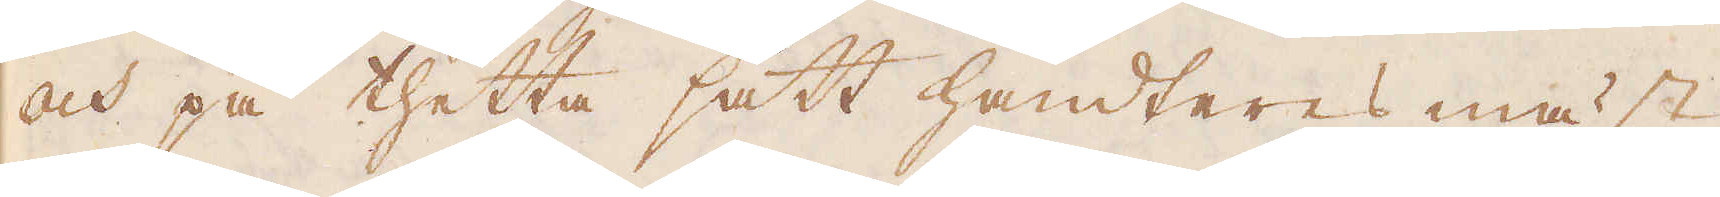och på thetta sätt handteres mäst
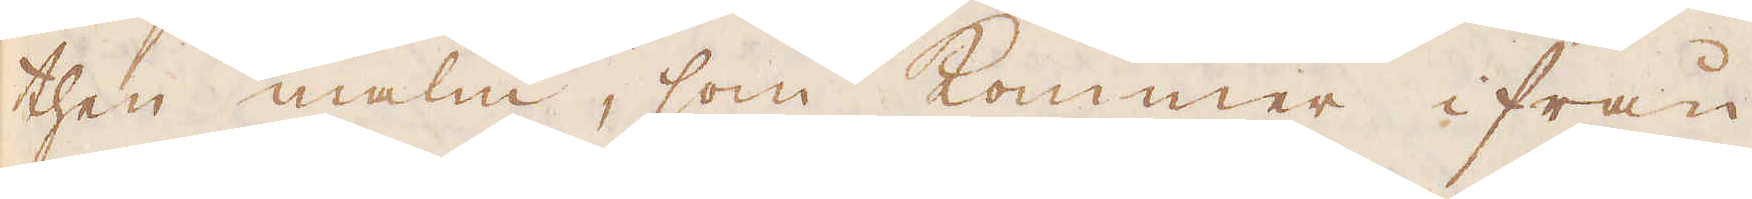then malm, som kommer ifrån
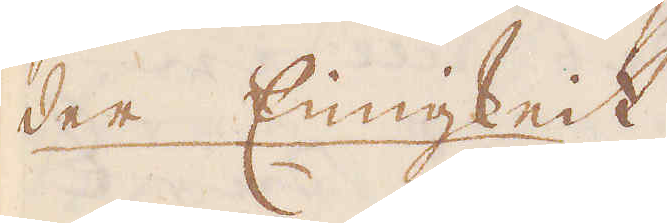der Einigkeit.
